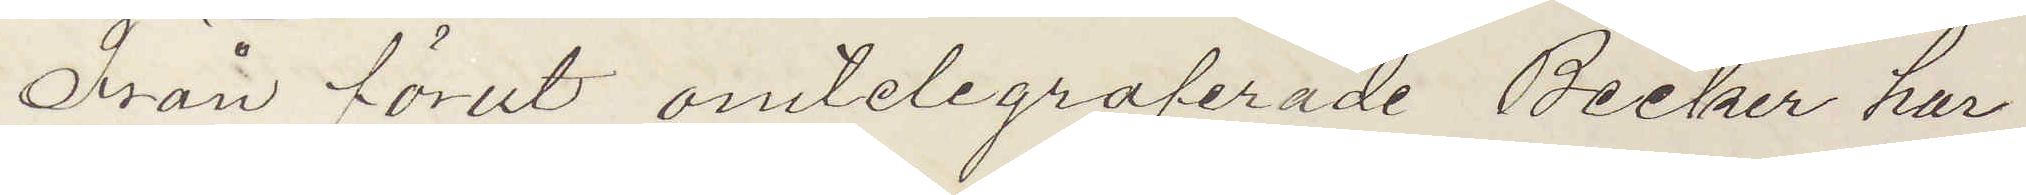Från förut omtelegraferade Becker har
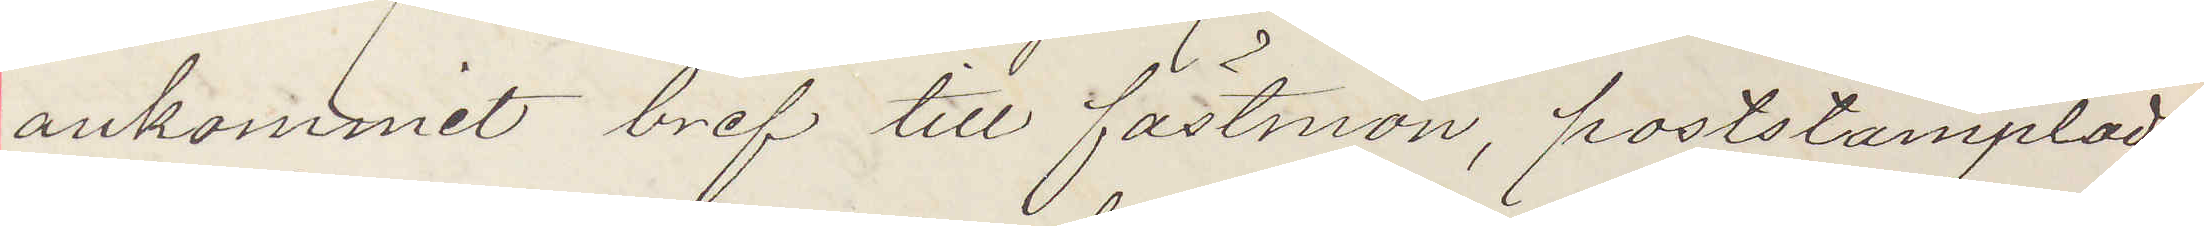ankommit bref till fastmön, poststämpladt
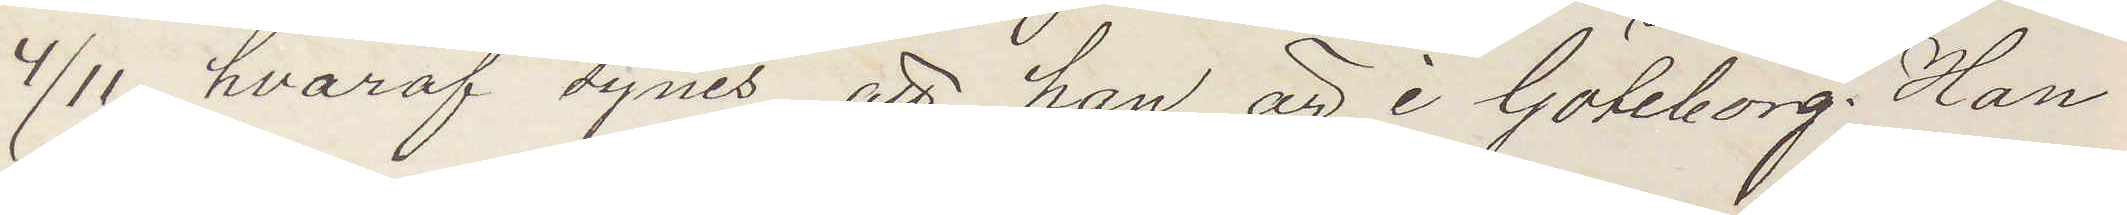4/11 hvaraf synes att han är i Göteborg. Han
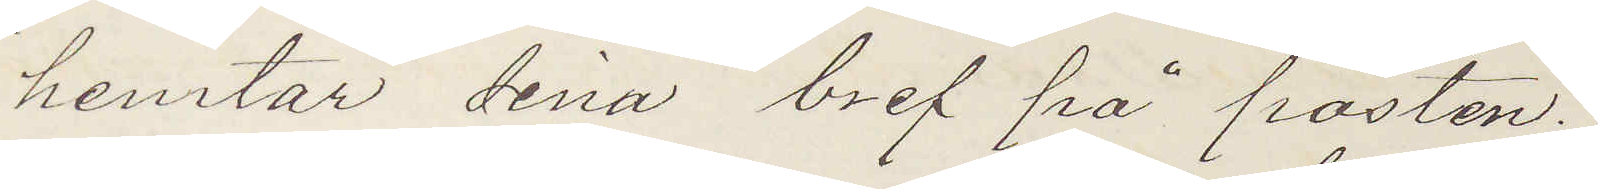hemtar sina bref på posten.
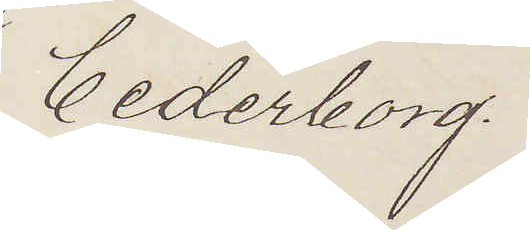Cederborg.
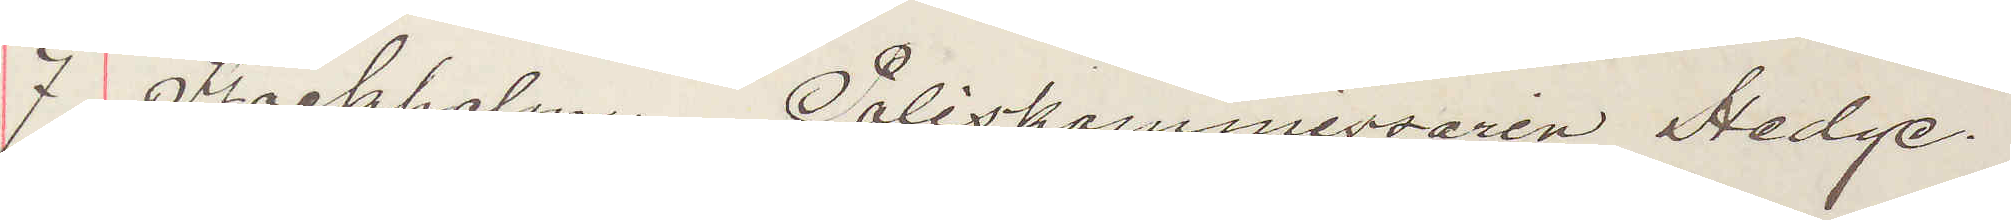7 Stockholm. Poliskommissaren Hedge.
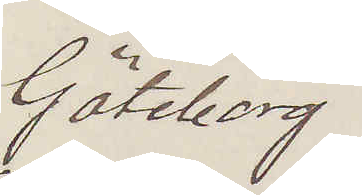Göteborg.
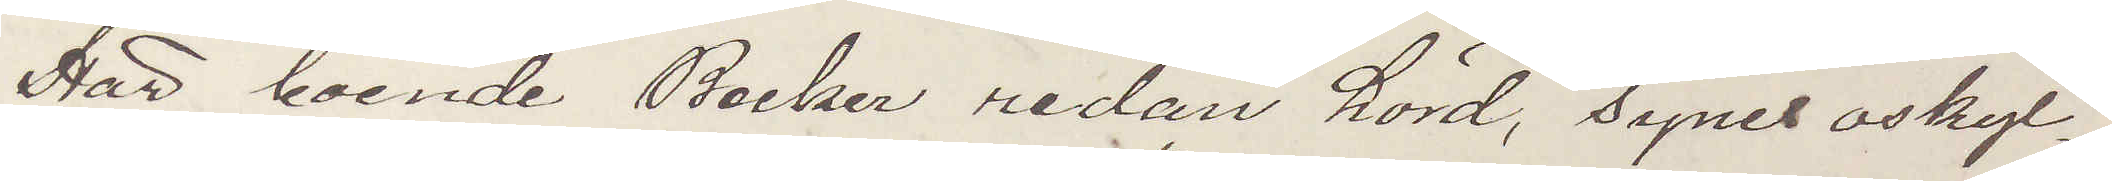Här boende Becker redan hörd, synes oskyl¬
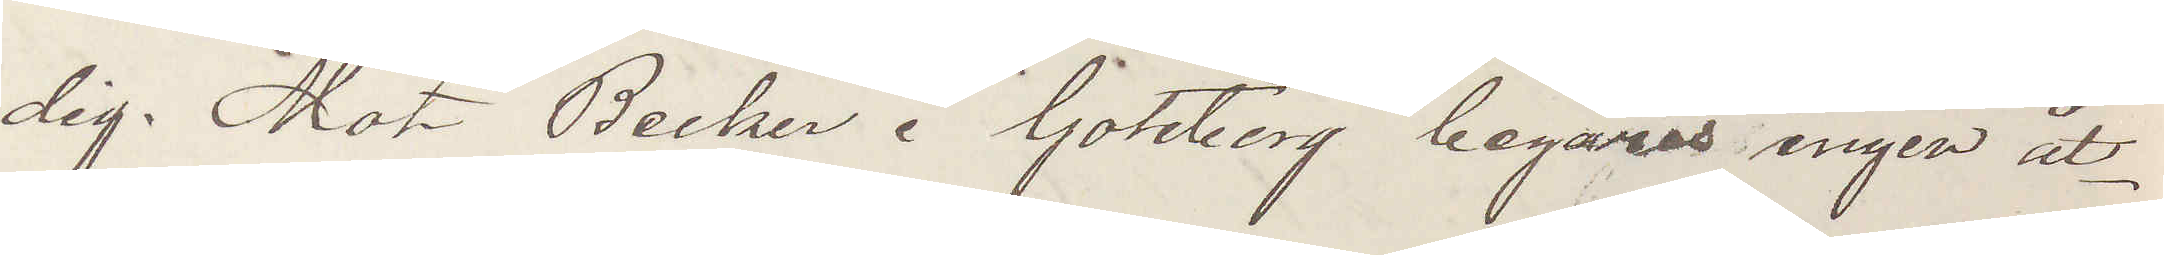dig. Mot Becker i Göteborg begäras ingen åt¬
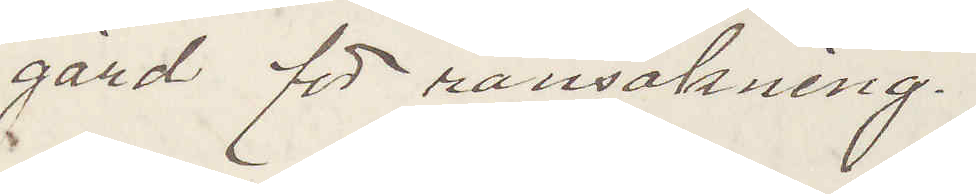gärd för ransakning.
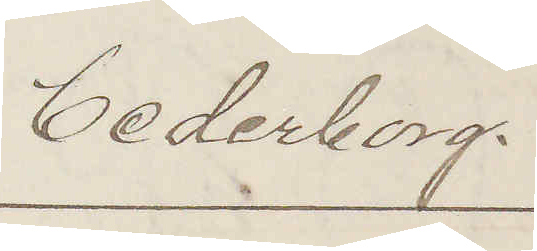Cederborg.
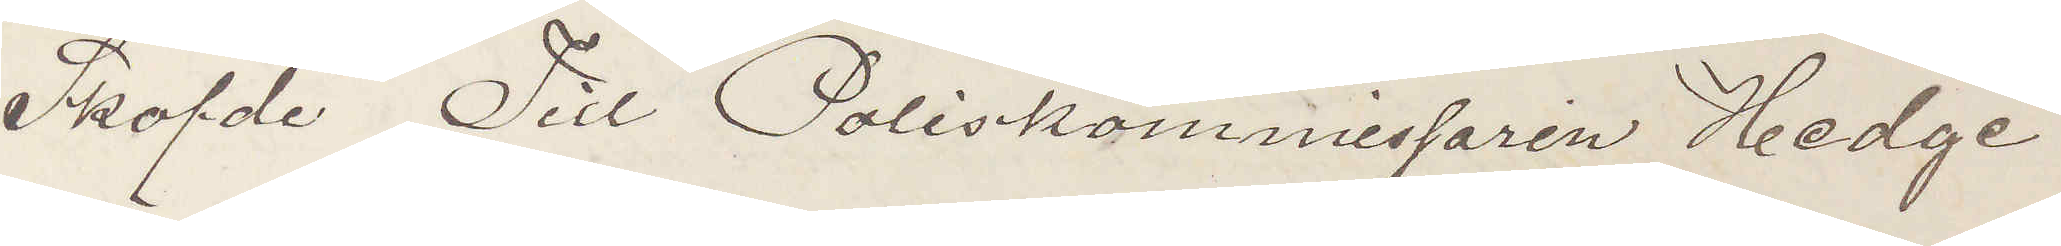Sköfde Till Poliskommissaren Hedge
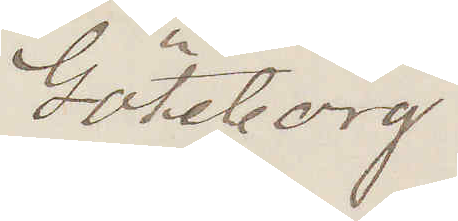Göteborg
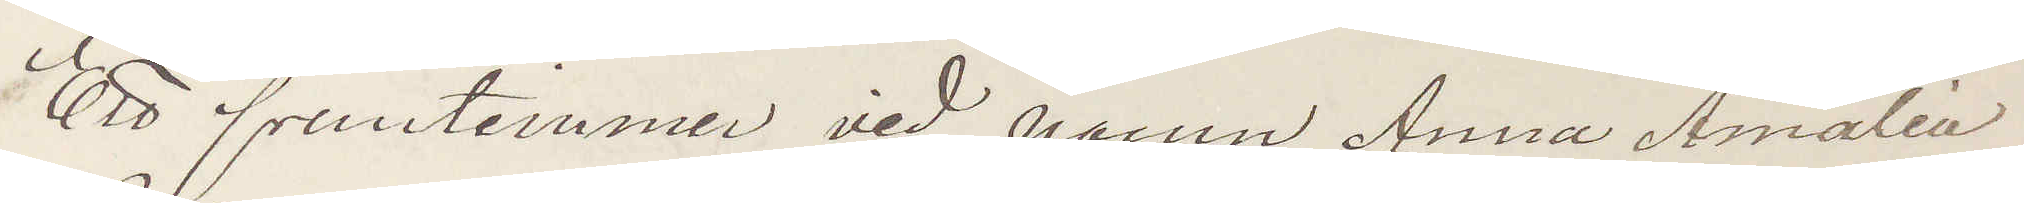Ett fruntimmer vid namn Anna Amalia
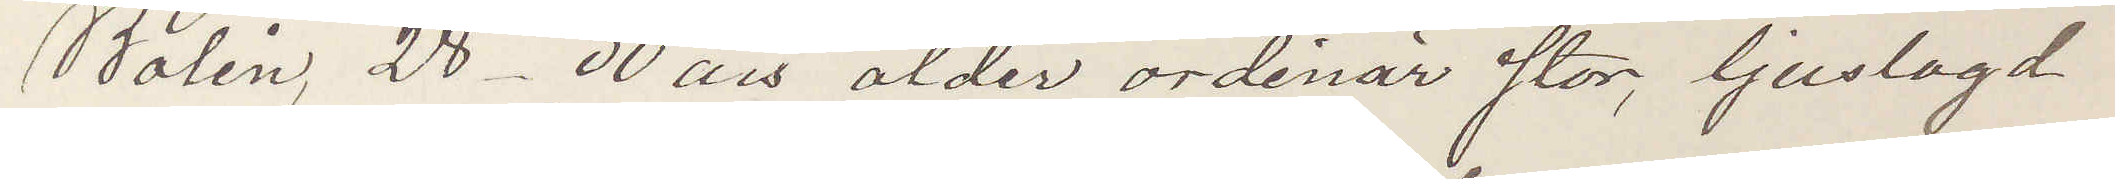Bolin, 28-30 års ålder ordinär stor, ljuslagd
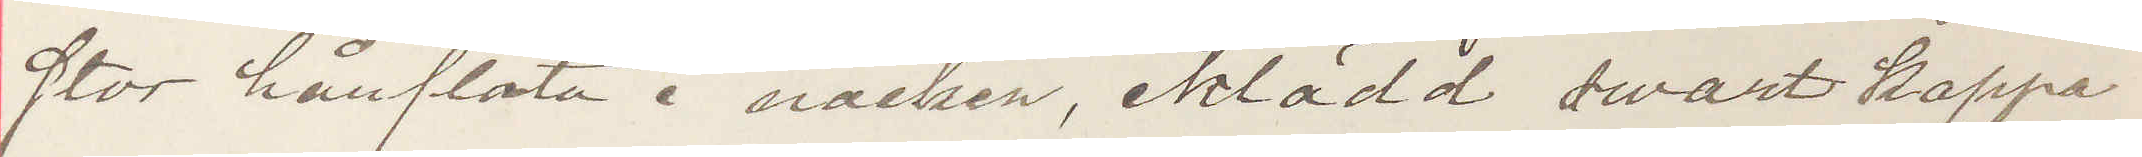stor härflåta i nacken, iklädd swart kappa
